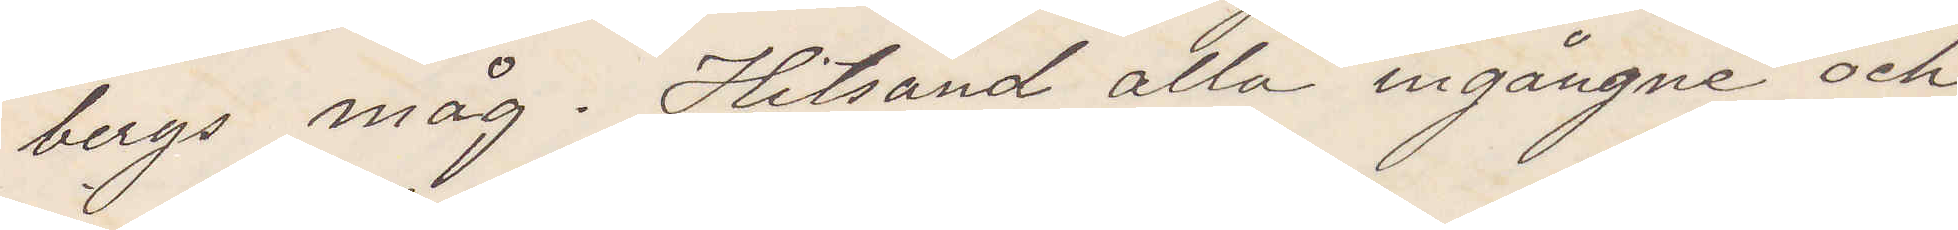bergs måg. Hitsänd alla ingångne och
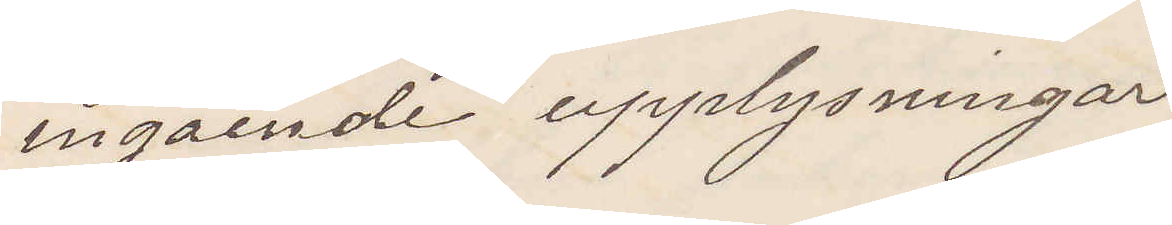ingående upplysningar
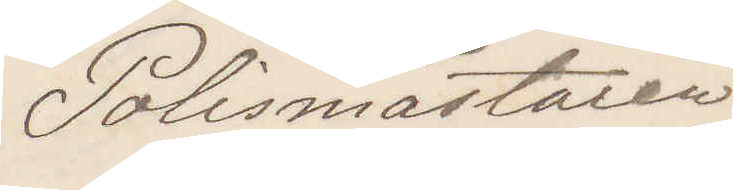Polismästaren
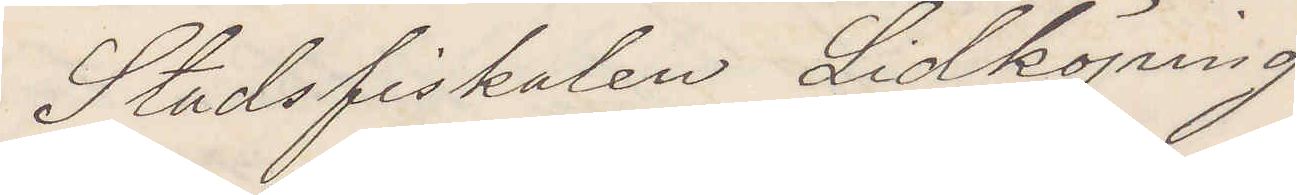Stadsfiskalen Lidköping
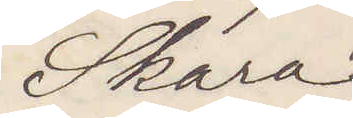Skara
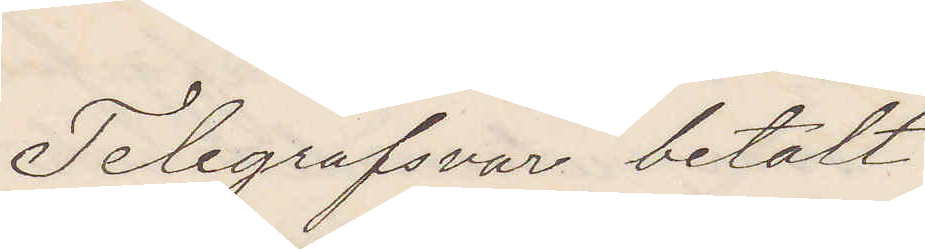Telegrafsvar betalt
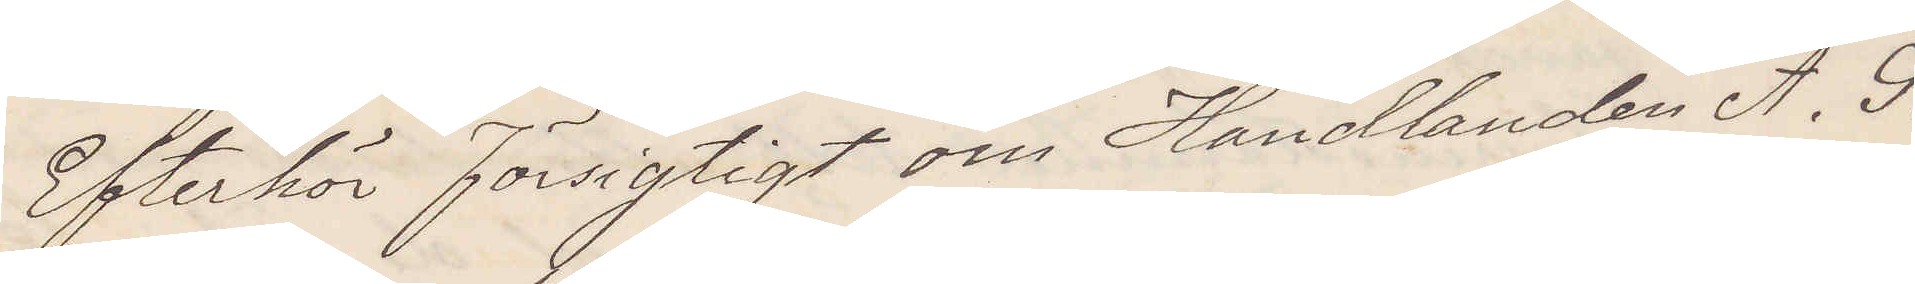Efterhör försigtigt om Handlanden A. S.
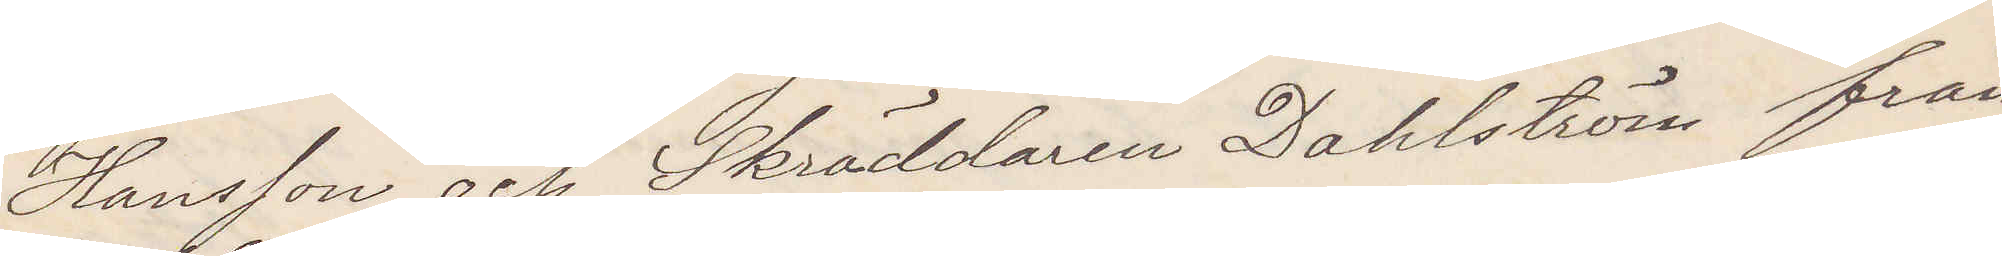Hansson och Skräddaren Dahlström från
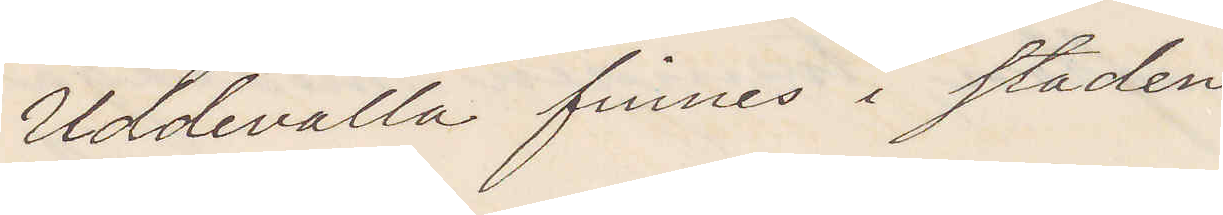Uddevalla finnes i staden
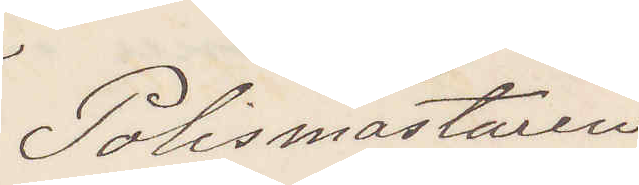Polismästaren
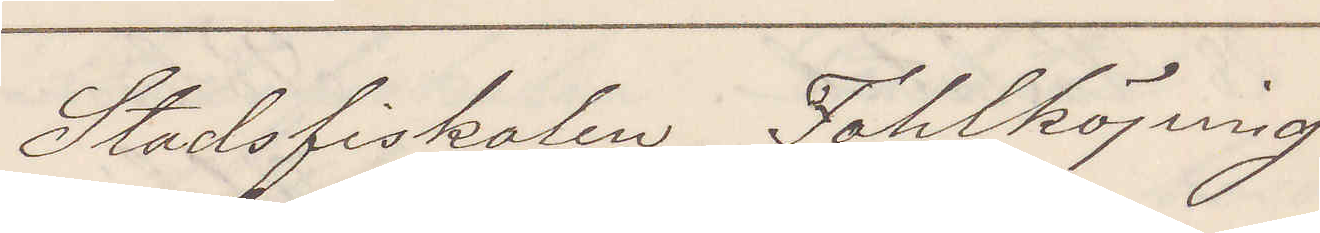Stadsfiskalen Fahlköping
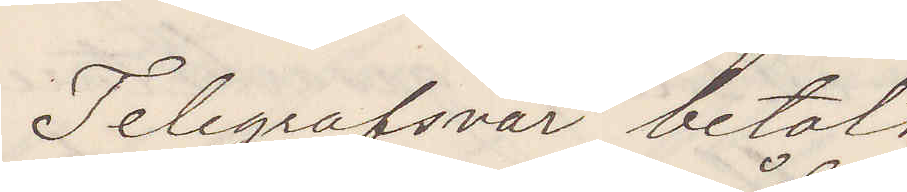Telegrafsvar betalt
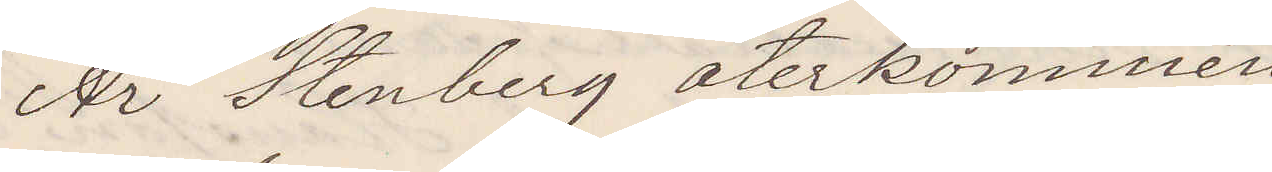Är Stenberg återkommen
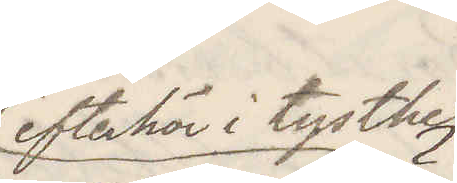efterhör i tysthet
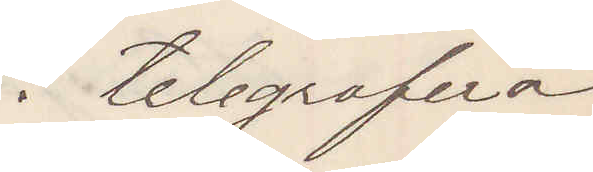telegrafera
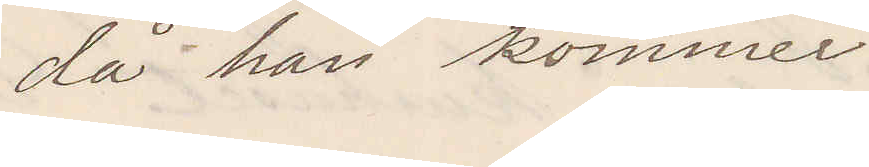då han kommer.
